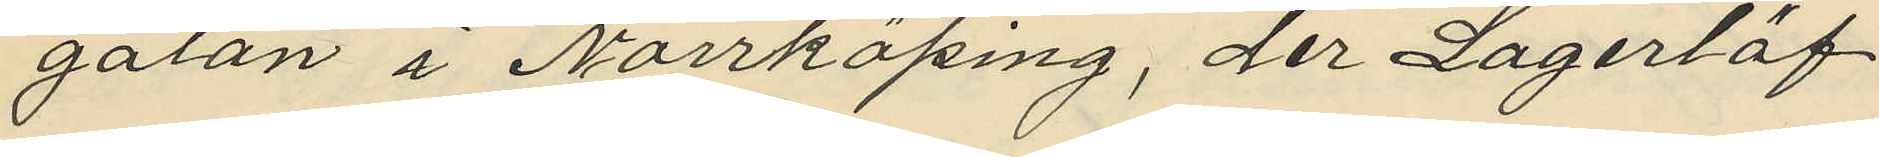gatan i Norrköping, der Lagerlöf
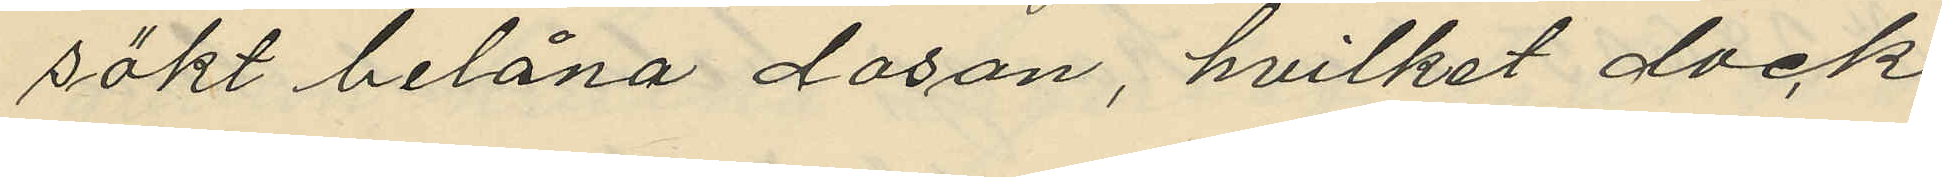sökt belåna dosan, hvilket dock
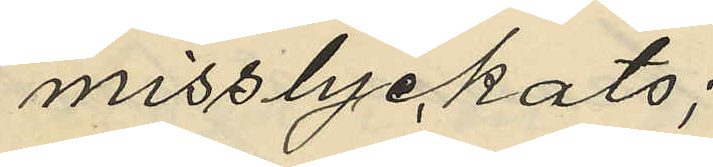misslyckats;
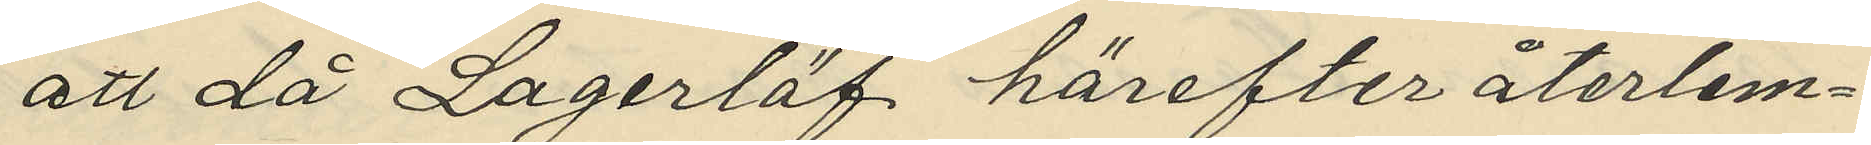att då Lagerlöf härefter återlem¬
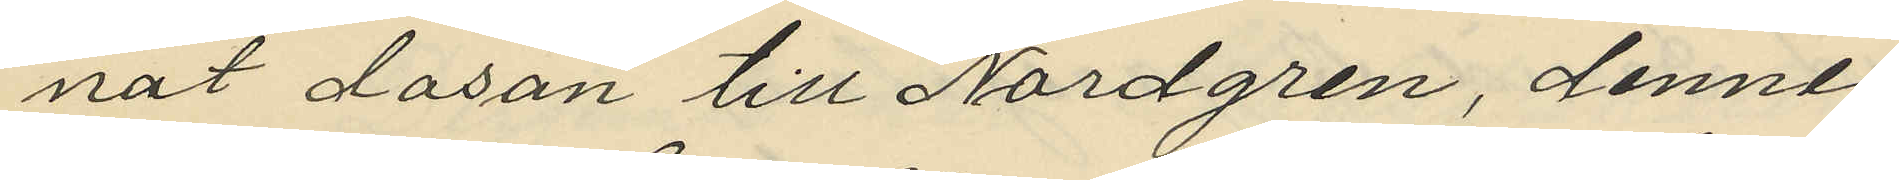nat dosan till Nordgren, denne
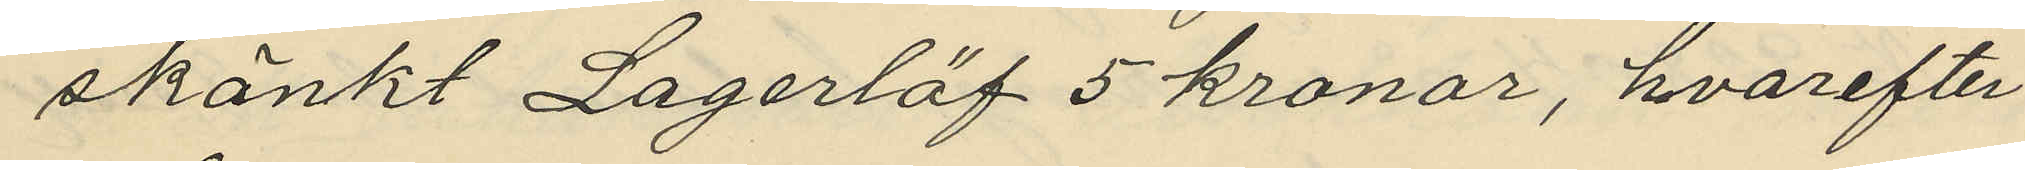skänkt Lagerlöf 5 kronor, hvarefter
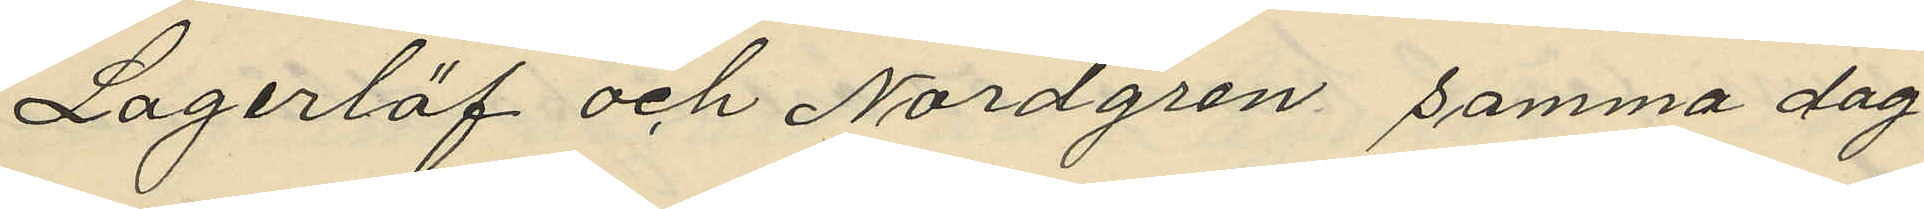Lagerlöf och Nordgren samma dag
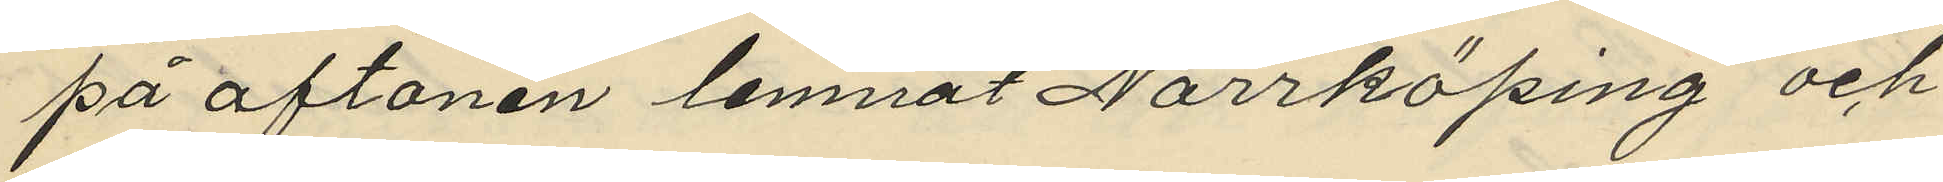på aftonen lemnat Norrköping och
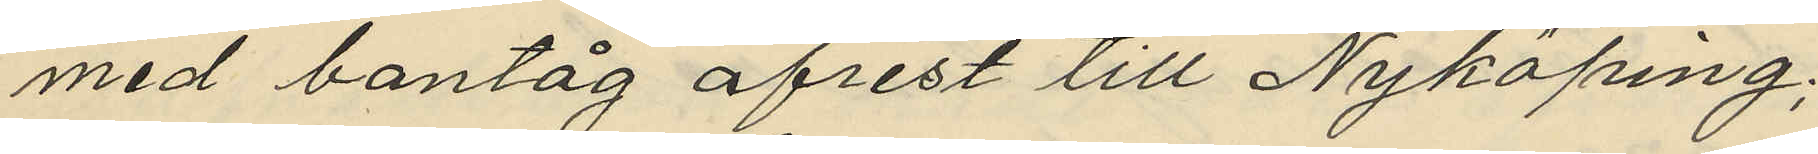med bantåg afrest till Nyköping;
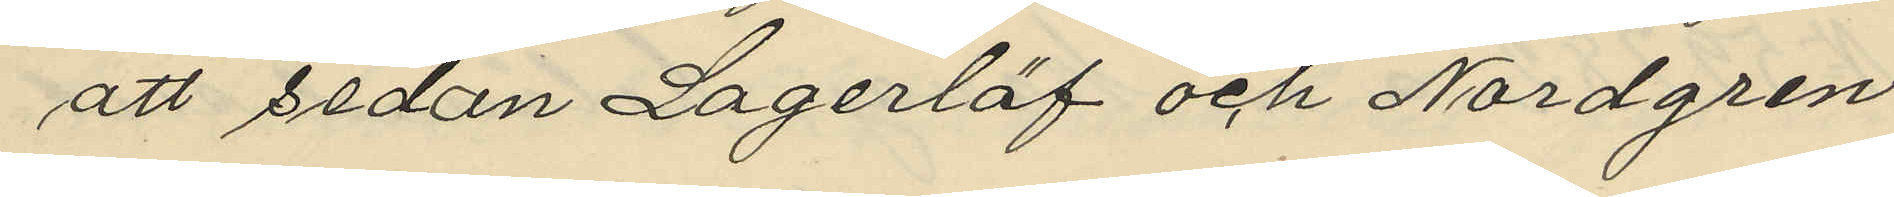att sedan Lagerlöf och Nordgren
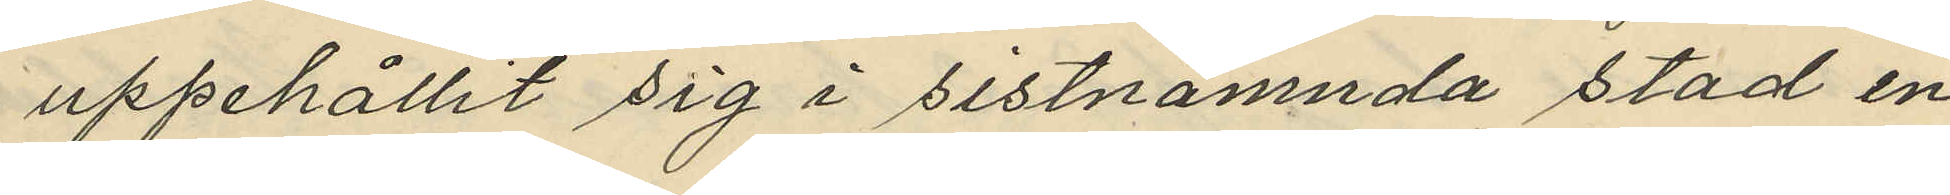uppehållit sig i sistnämnda stad en
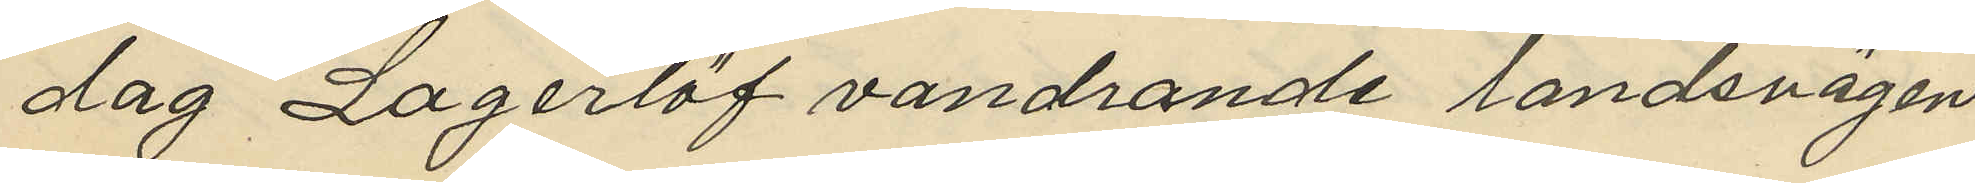dag Lagerlöf vandrande landsvägen
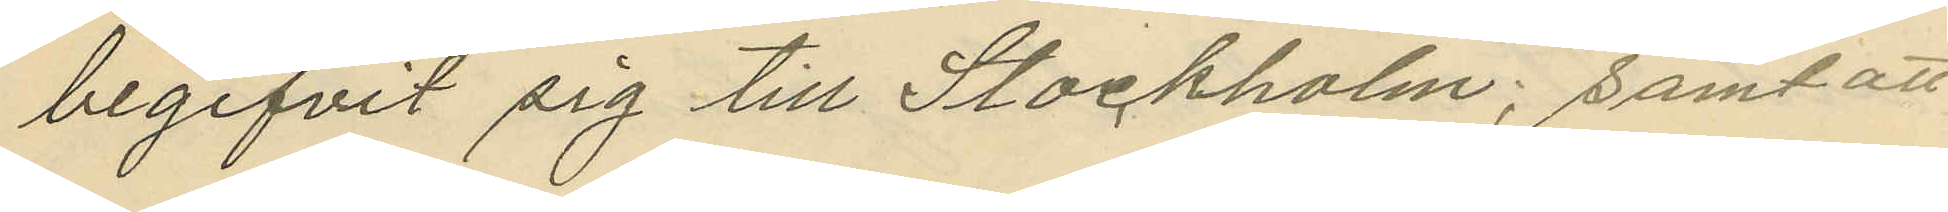begifvit sig till Stockholm; samt att
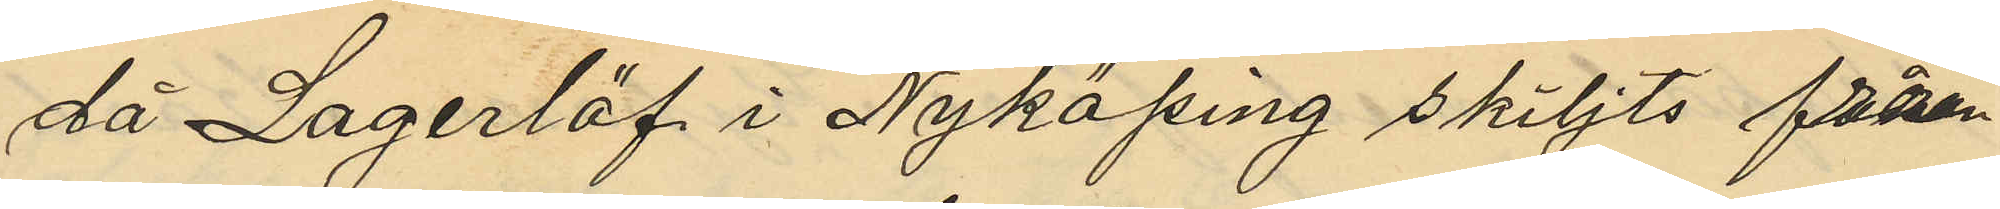då Lagerlöf i Nyköping skiljts från
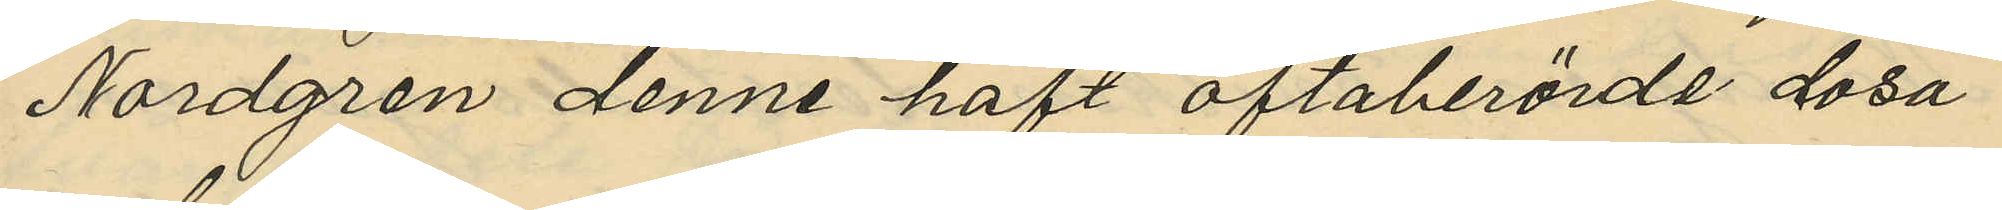Nordgren denne haft oftaberörde dosa
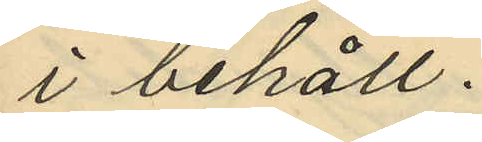i behåll.
